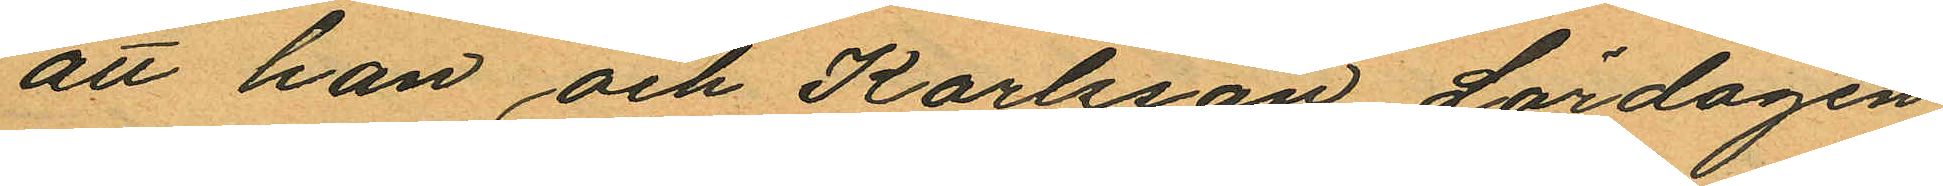att han och Karlsson Lördagen
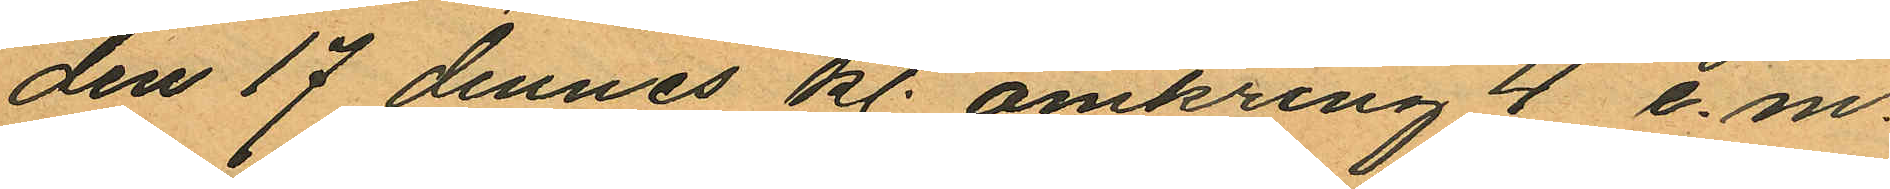den 17 dennes kl. omkring 4 e.m.
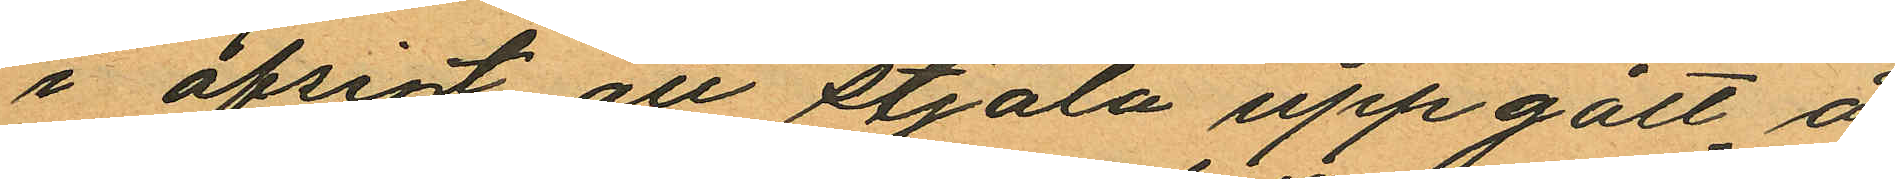i afsigt att stjäla uppgått å
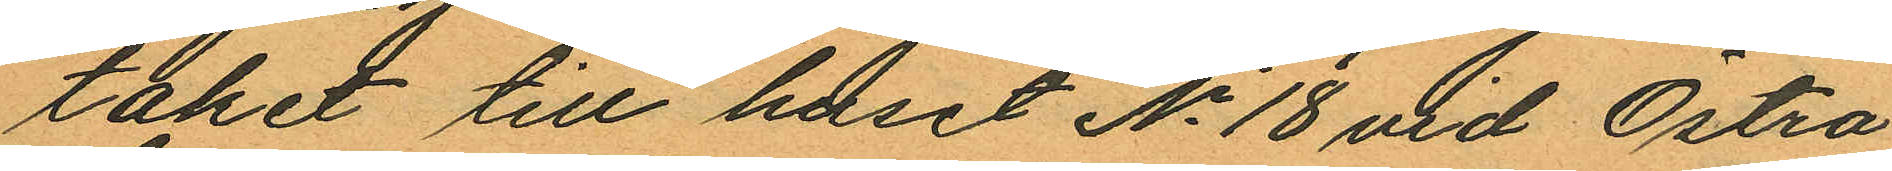täket till huset No 18 vid Östra
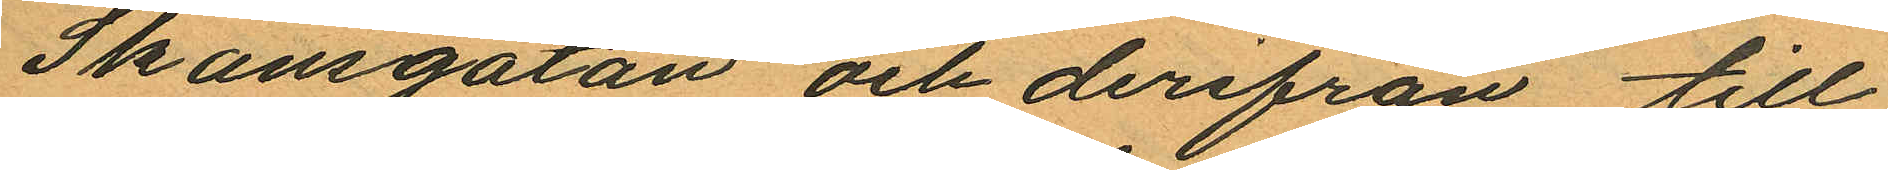Skansgatan och derifrån till
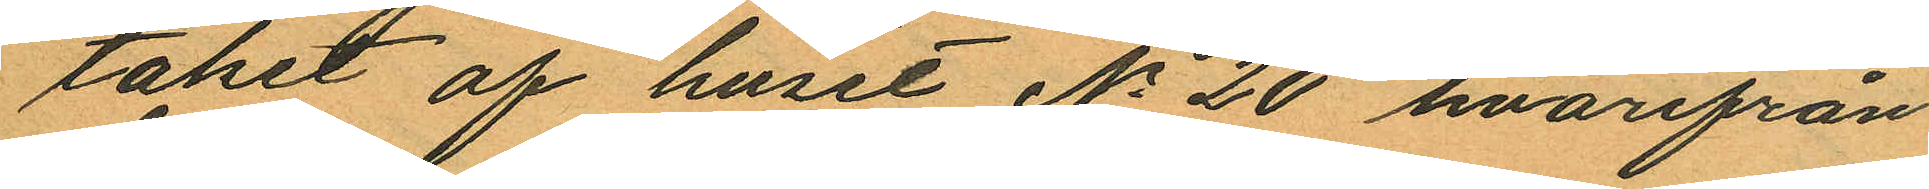taket af huset No 20 hvarifrån
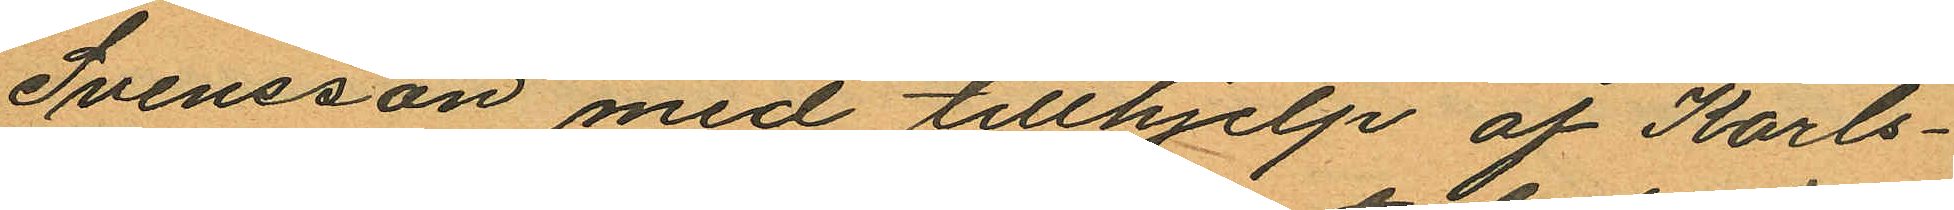Svensson med tillhjelp af Karls¬
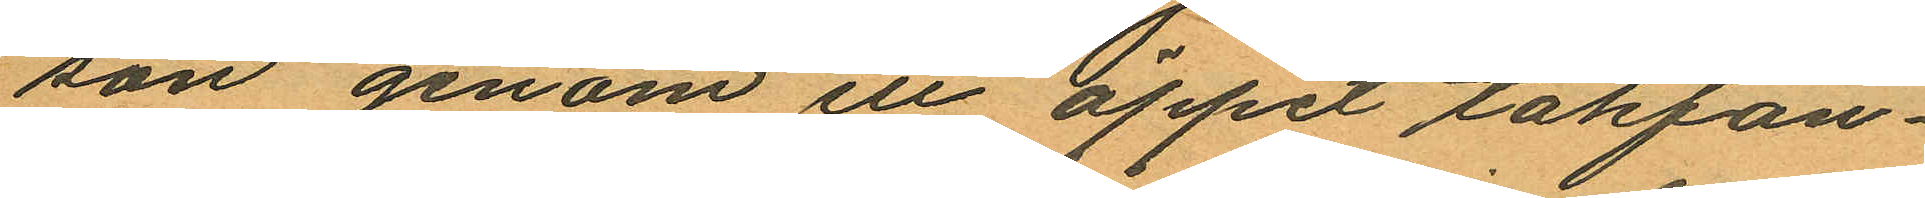son genom ett öppet takfön¬
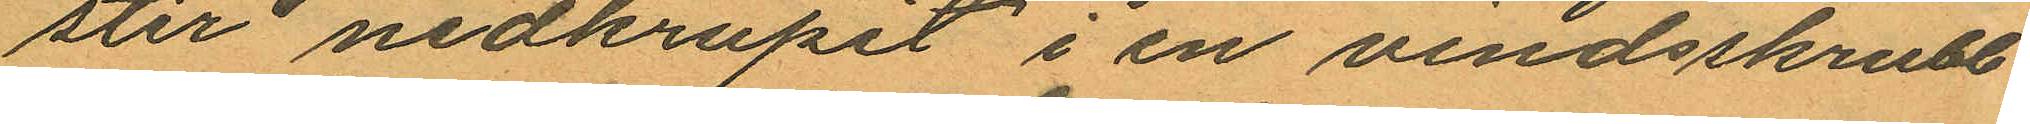ster nedkrupit i en vindsskrubb
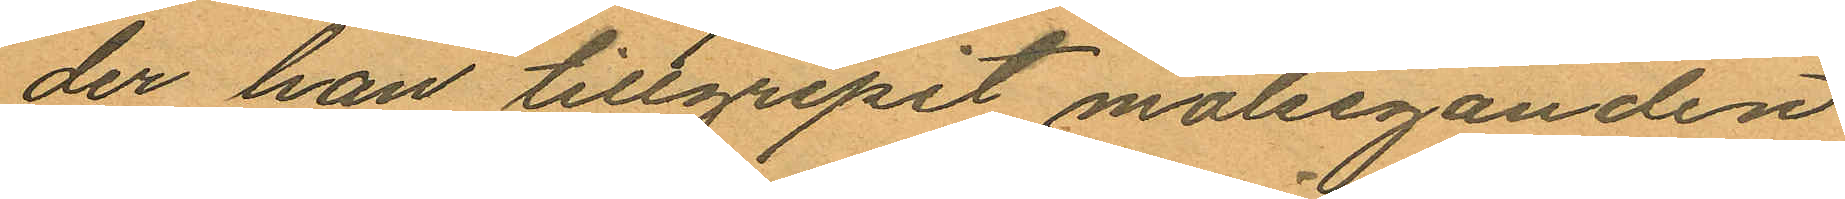der han tillgripit målseganden
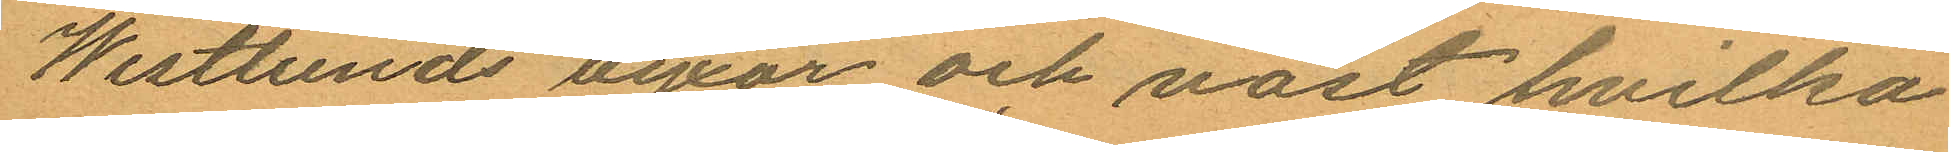Westlunds byxor och väst, hvilka
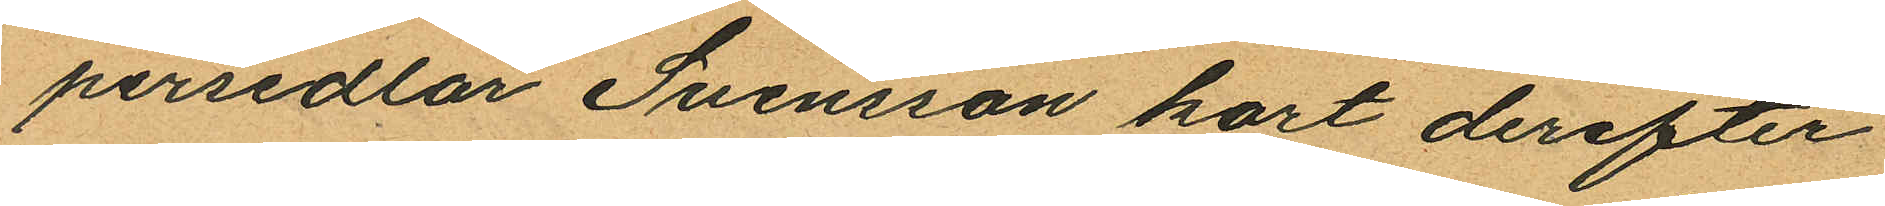persedlar Svensson kort derefter
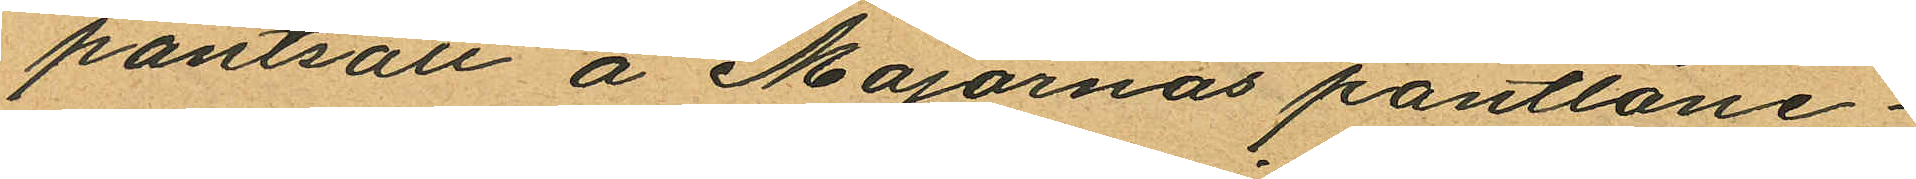pantsatt å Majornas pantlåne¬
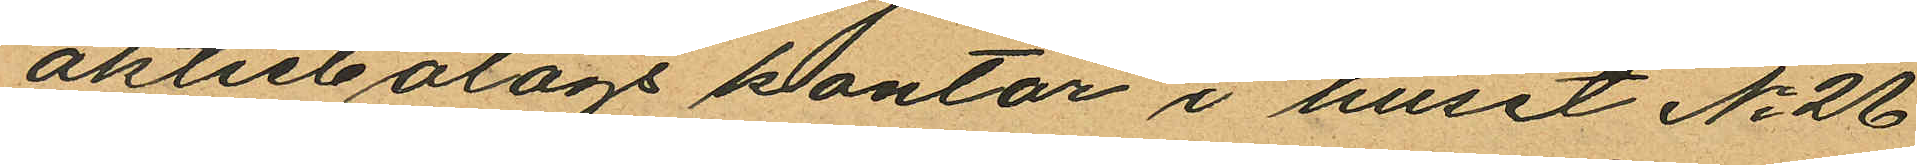aktiebolags kontor i huset No 26
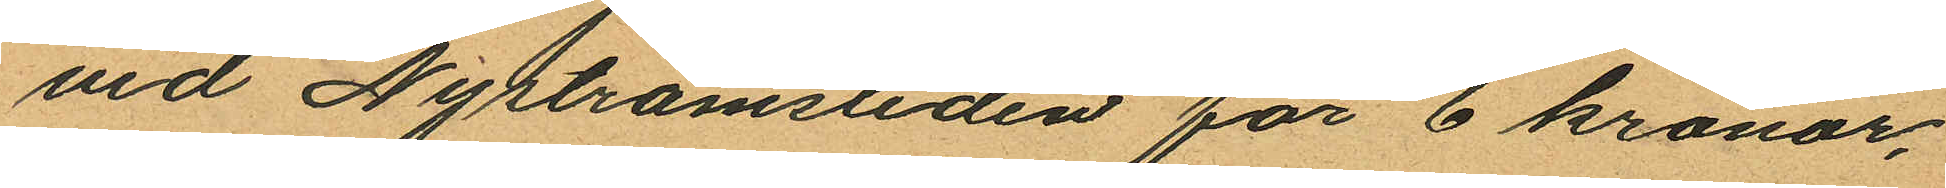vid Nyströmsliden för 6 kronor,
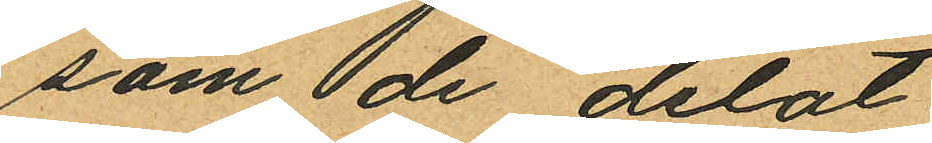som de delat.
